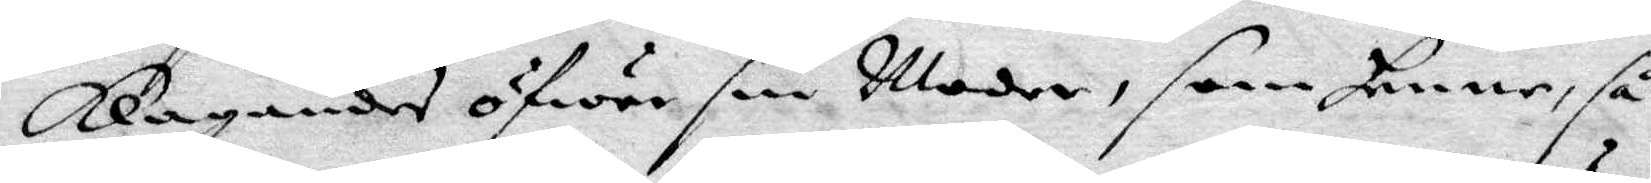klagandes öfwer sin Moder, som henne, så
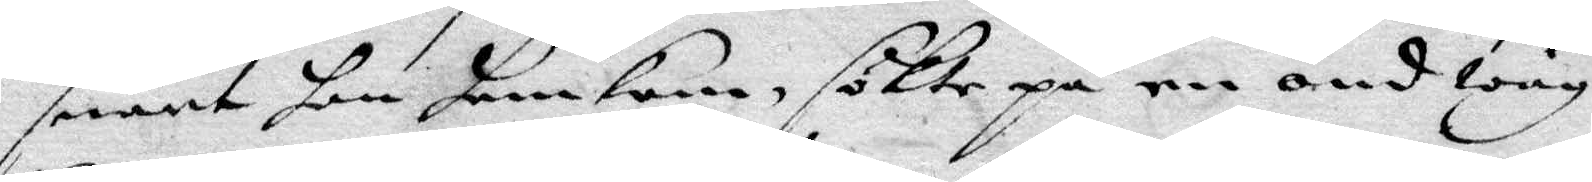snart hon hemkom, sökte på en ond wäg
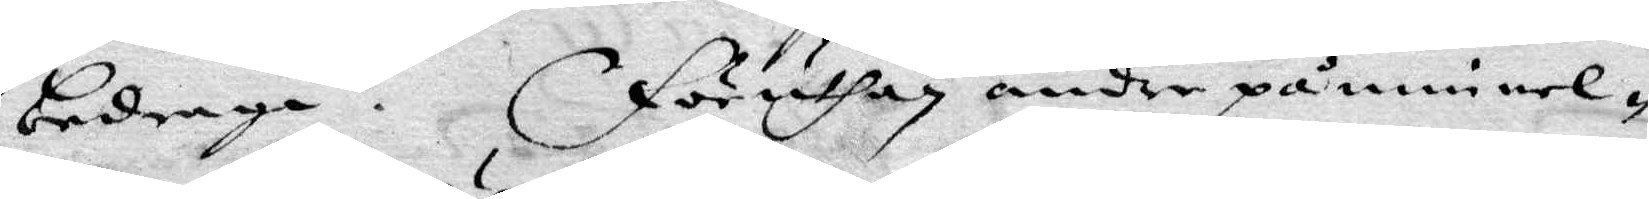bedraga. föruthan andre påminnel¬
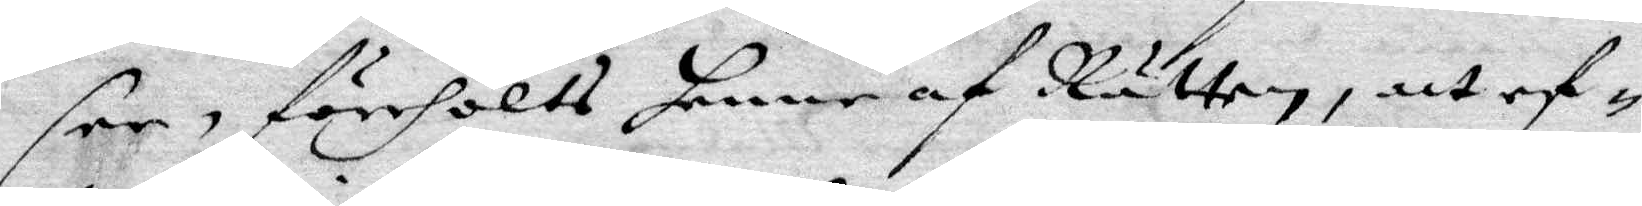ser, förehölts henne af Rätten, att ef¬
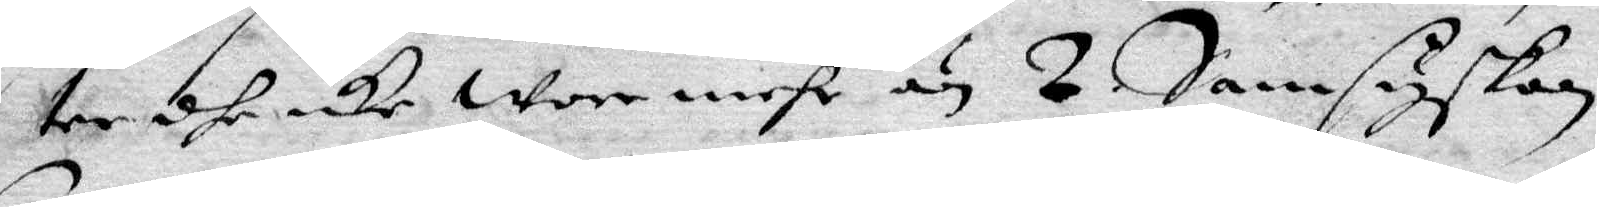ter dhe icke wore mehr än 2 samsyskon,
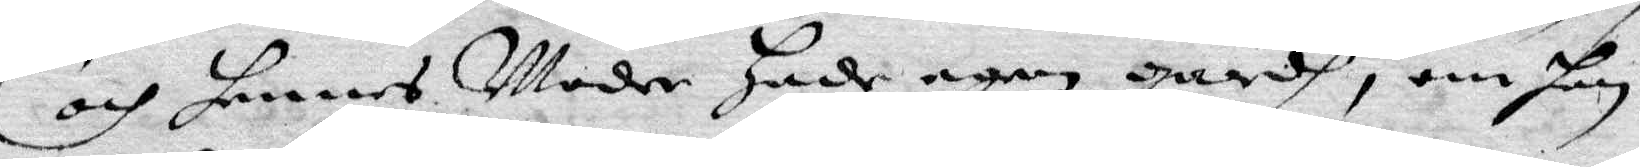och hennes Moder hade egen gårdh, om hon
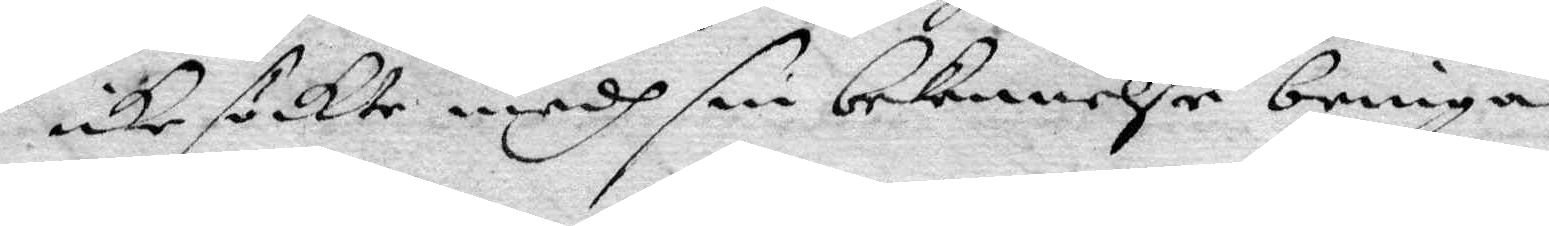icke sökte medh sin bekennelse bringa
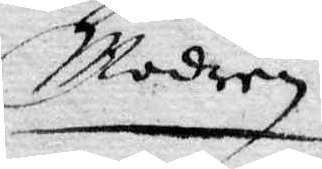Modren
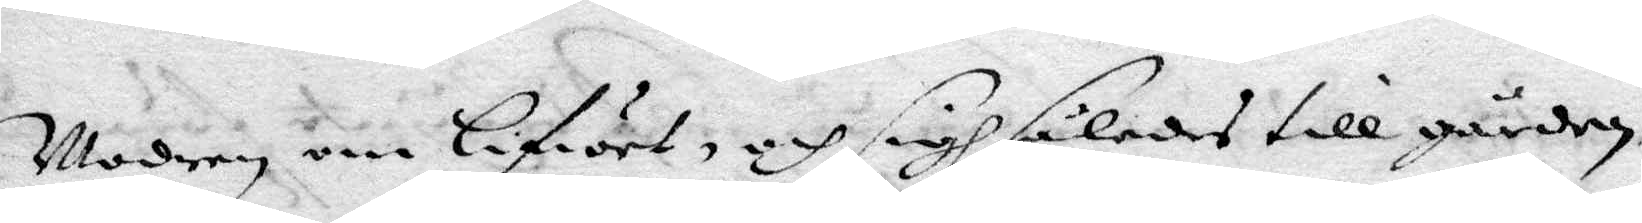Modern om Lifwet, och sigh således till gården,
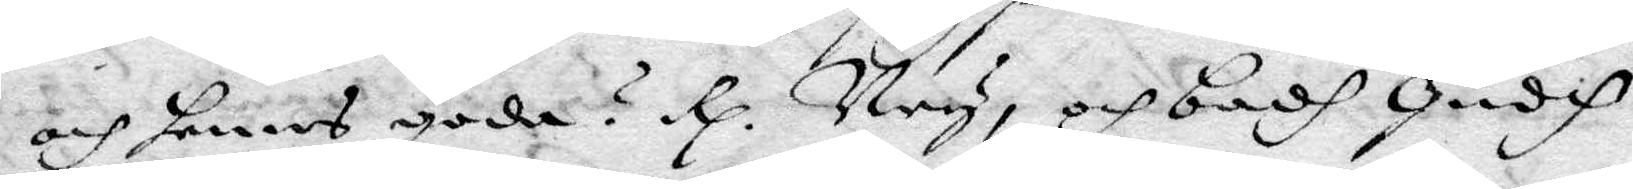och hennes goda? Rp. Ney, och badh Gudh
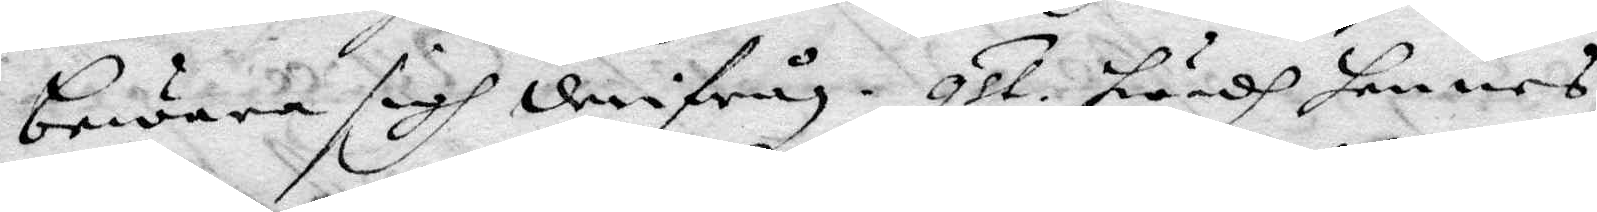bewara sigh derfrån. qst. Hwadh hennes
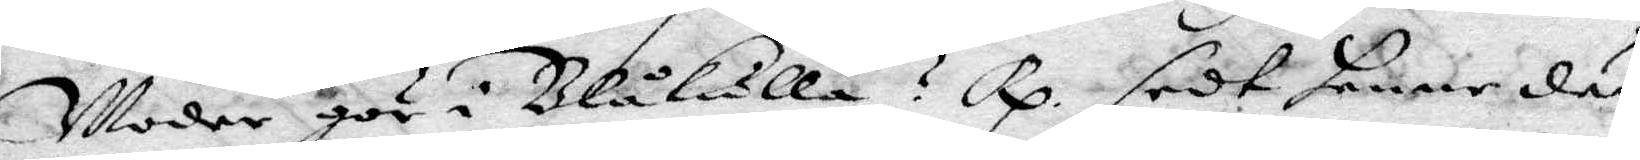Moder gör i Blåkulla? Rp. sedt henne där
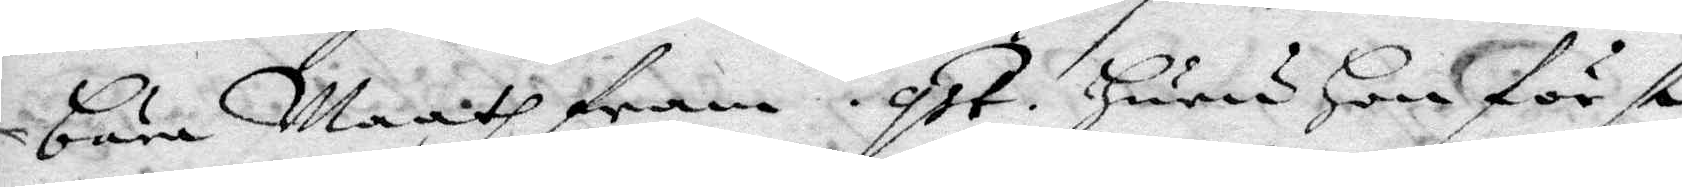bära Maath fram. qst. Huru Hon först
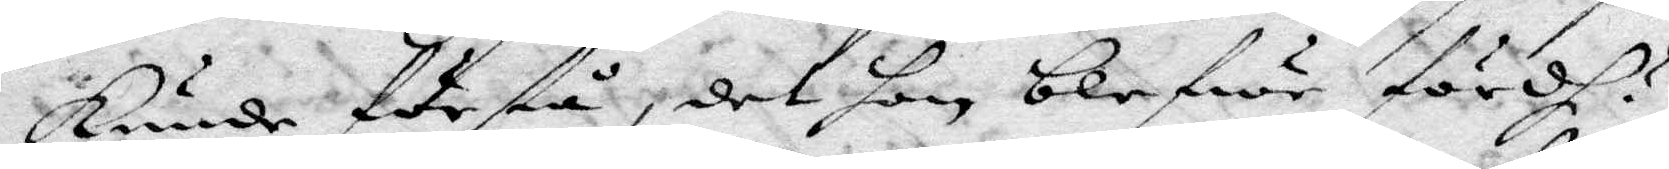kunde förstå, det hon blefwe fördh?
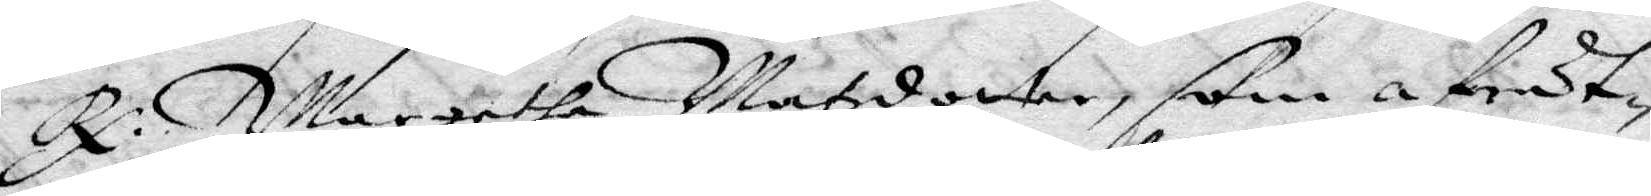Rp. Margetha Matzdotter, som afrät¬
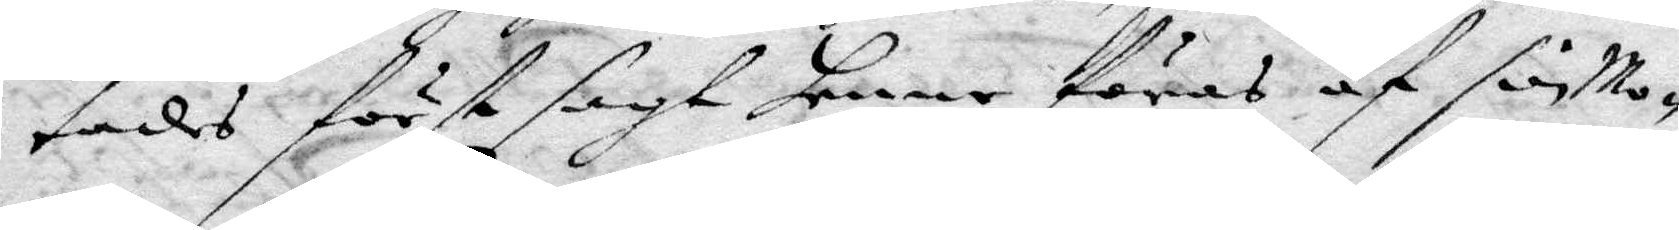tades först sagt henne föras af sin Mo¬
